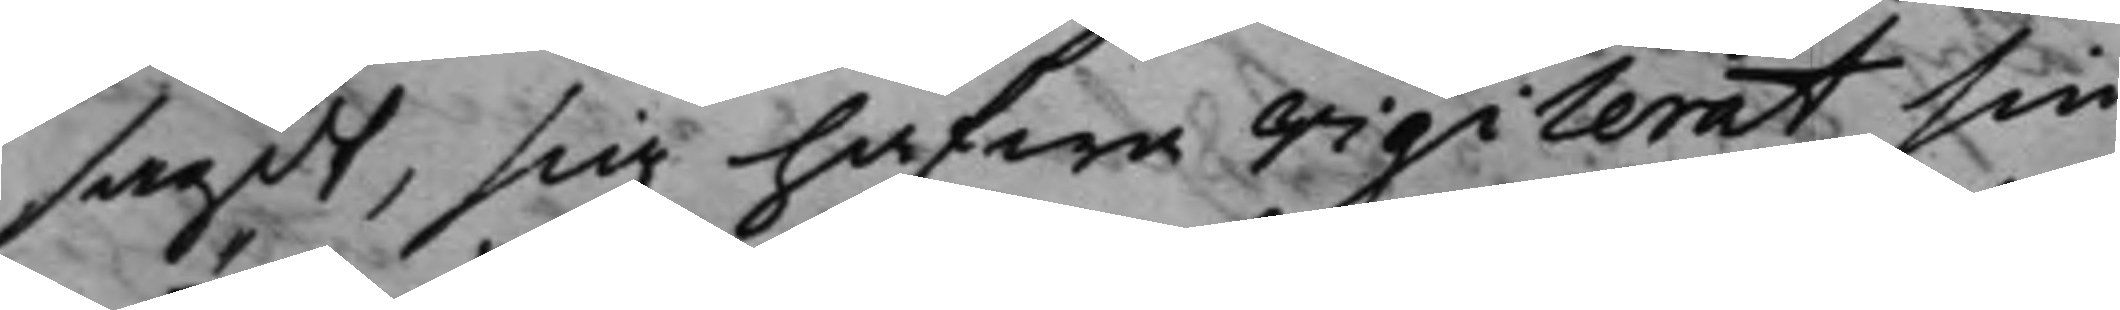sagdt, sig hafwa vigilerat sin
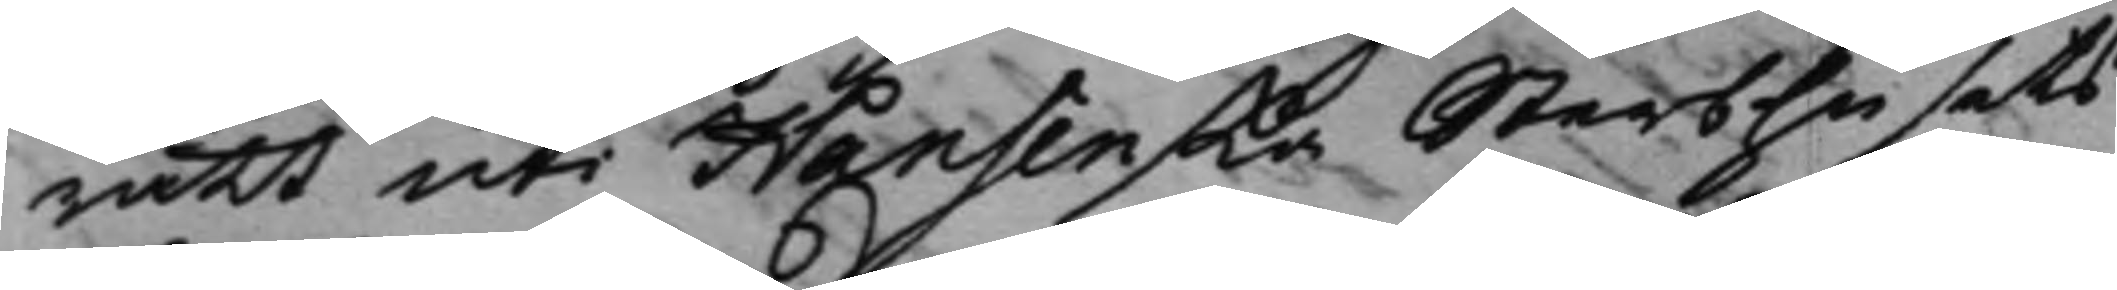rätt uti Hansenska Sterbhusets
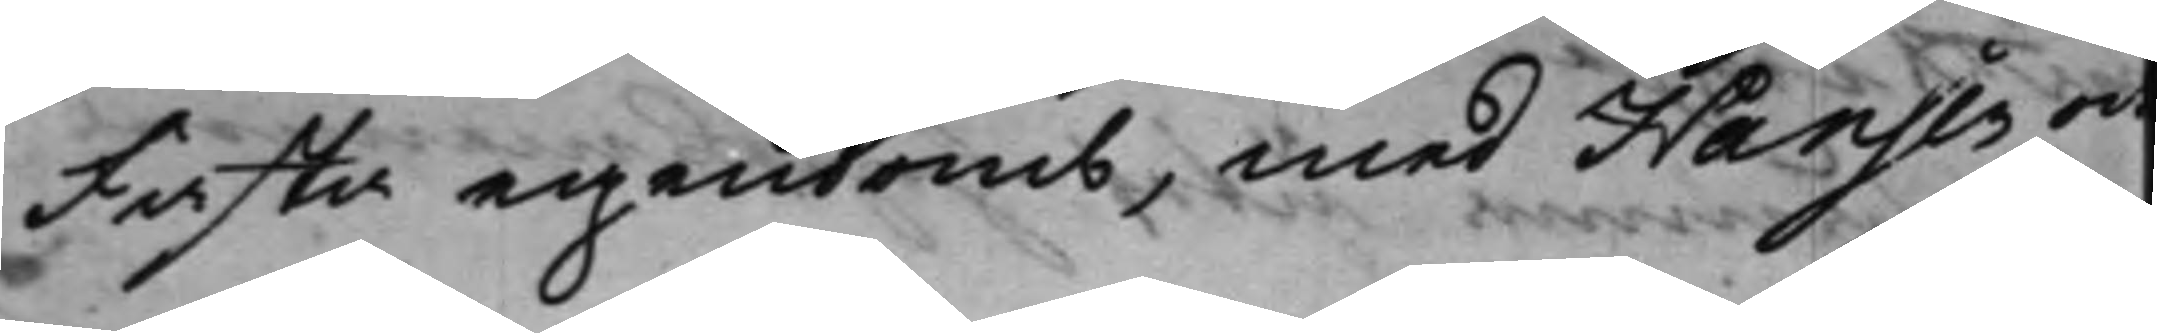fasta egendomb, med Hansen och
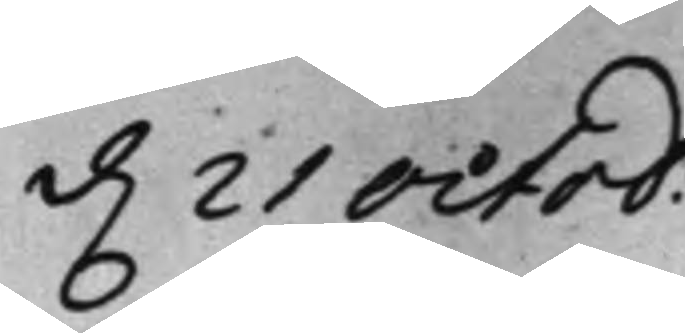d. 21 Octob:
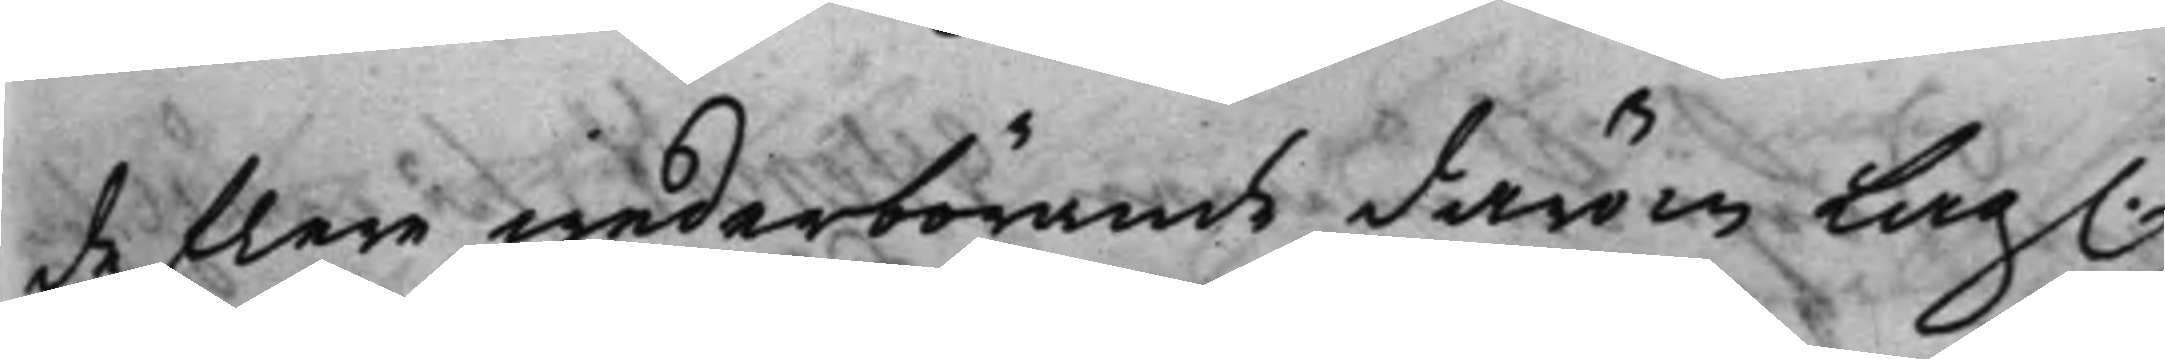de flere wederbörande därom Lag.
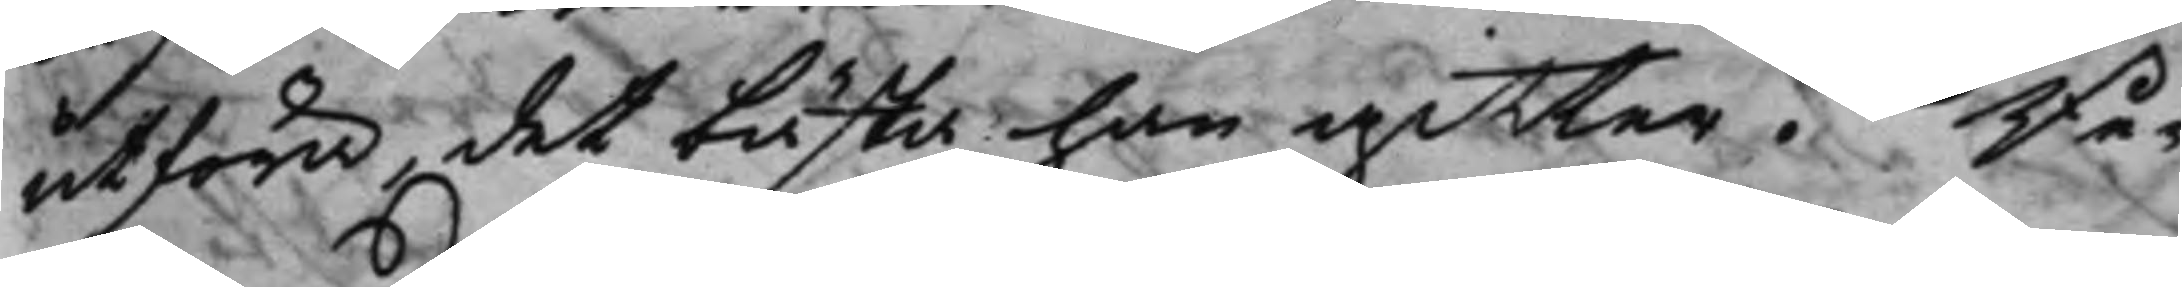utföra, det bästa han gitter. Be¬
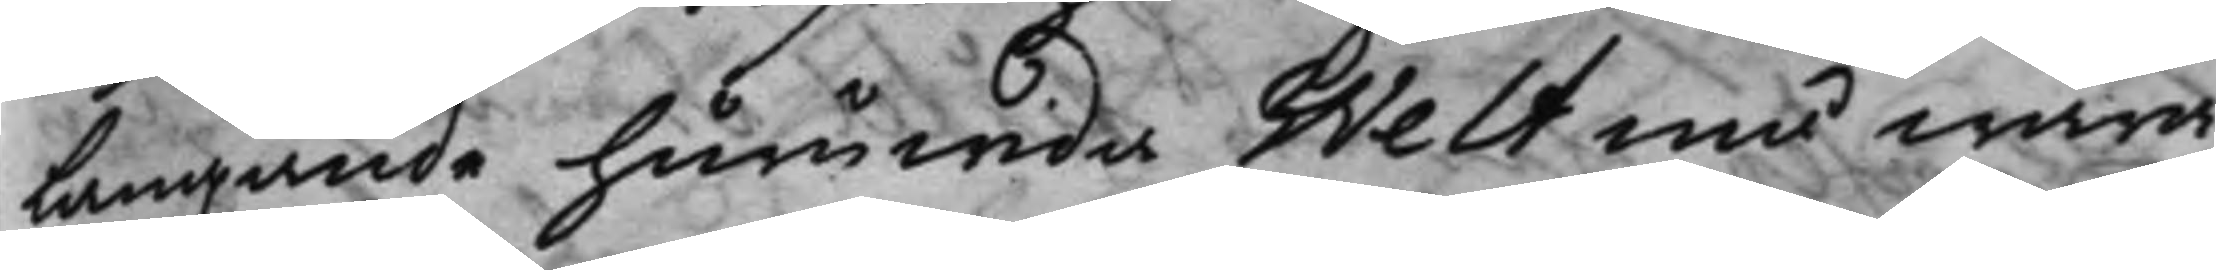langande huruwida Welt må wara
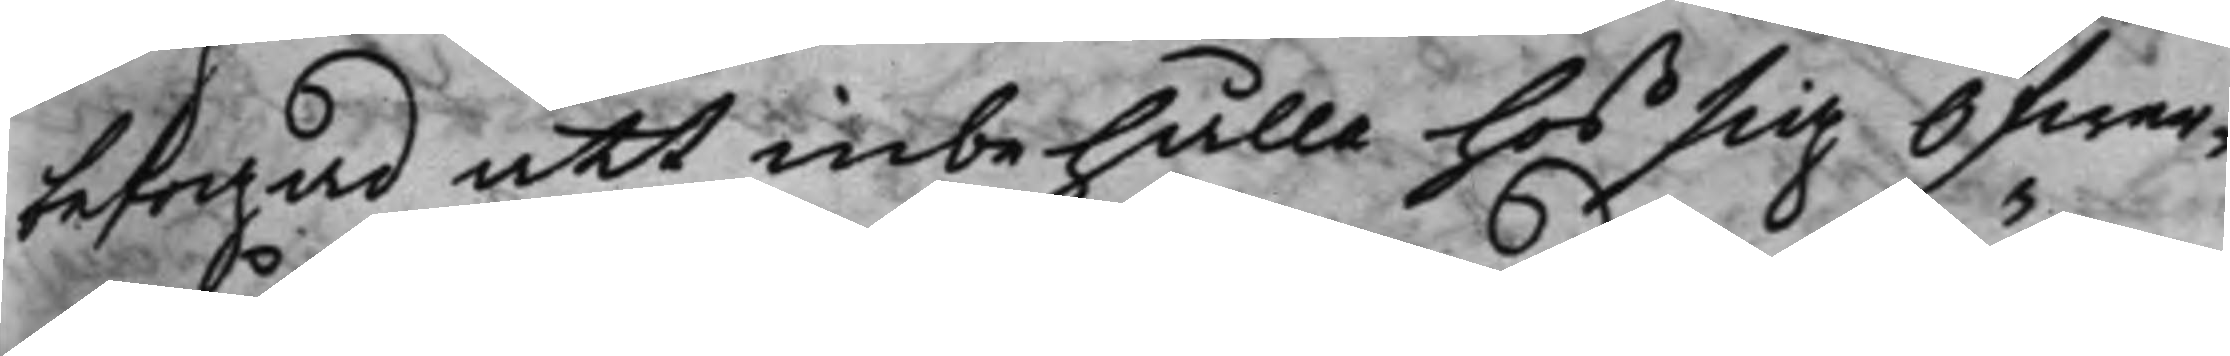befogad att inbehålla hos sig öfwer¬
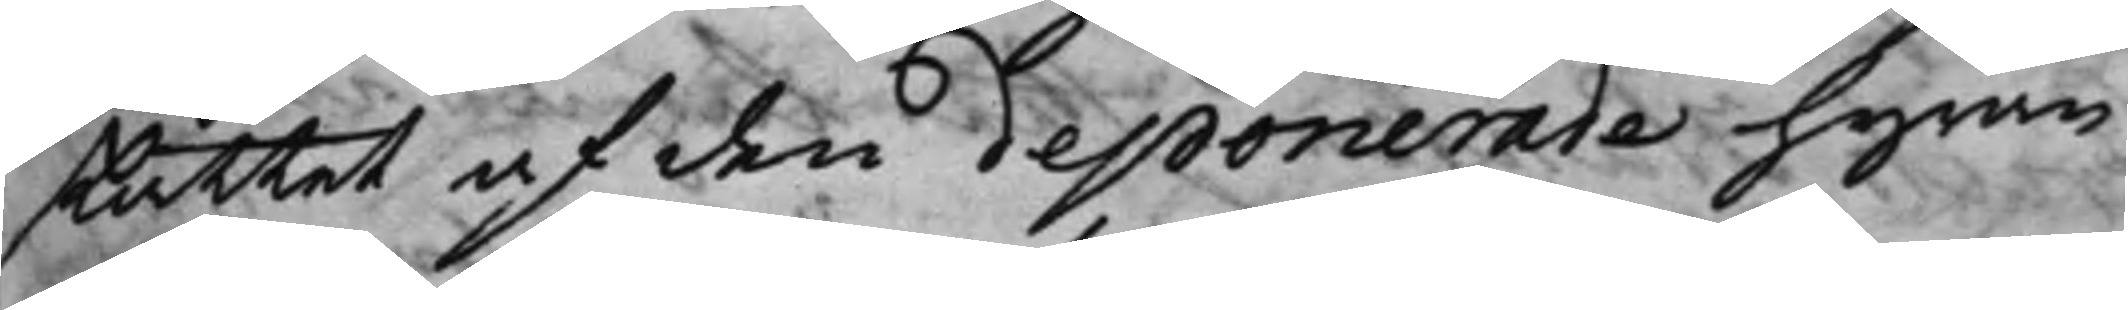skåttet af den deponerade hyran
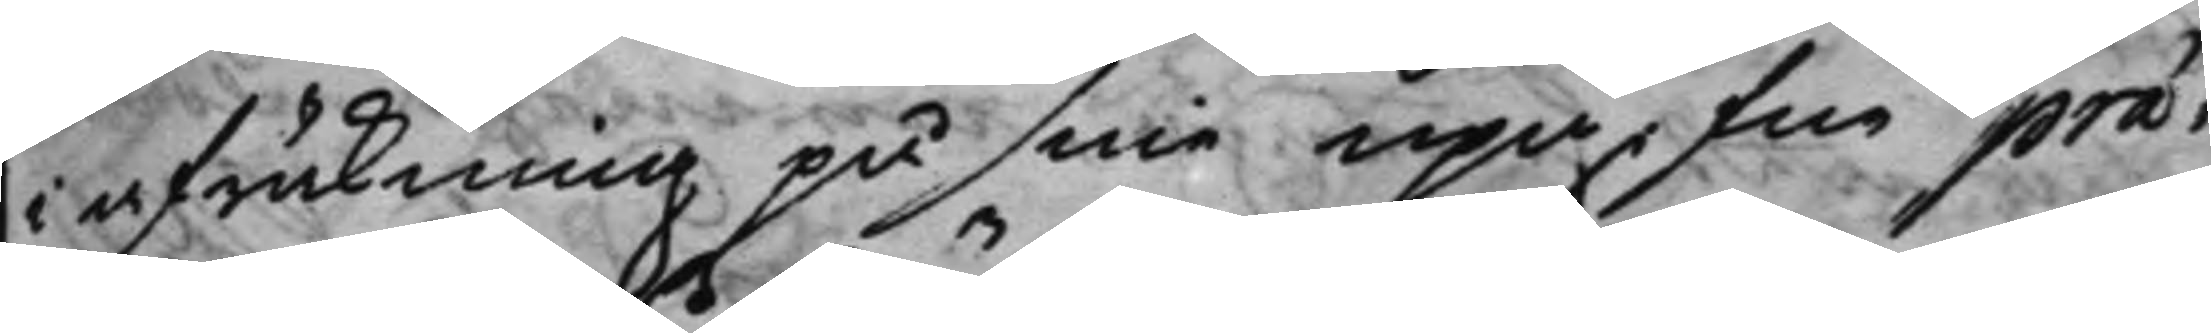i afräkning på sine upgifne præ¬
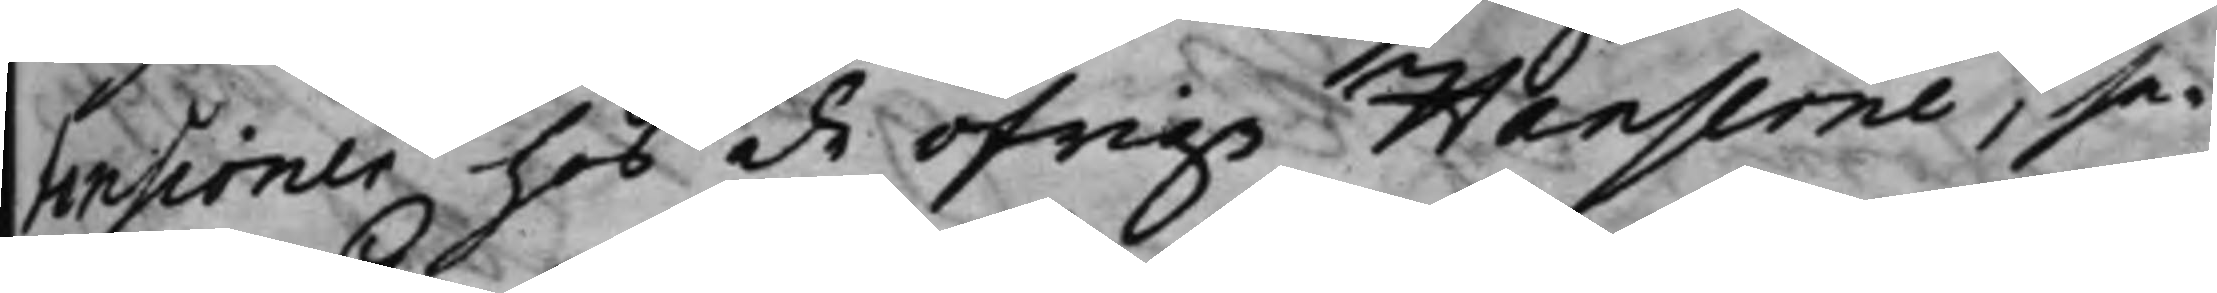tensioner hos de öfrige Hanserne, se¬
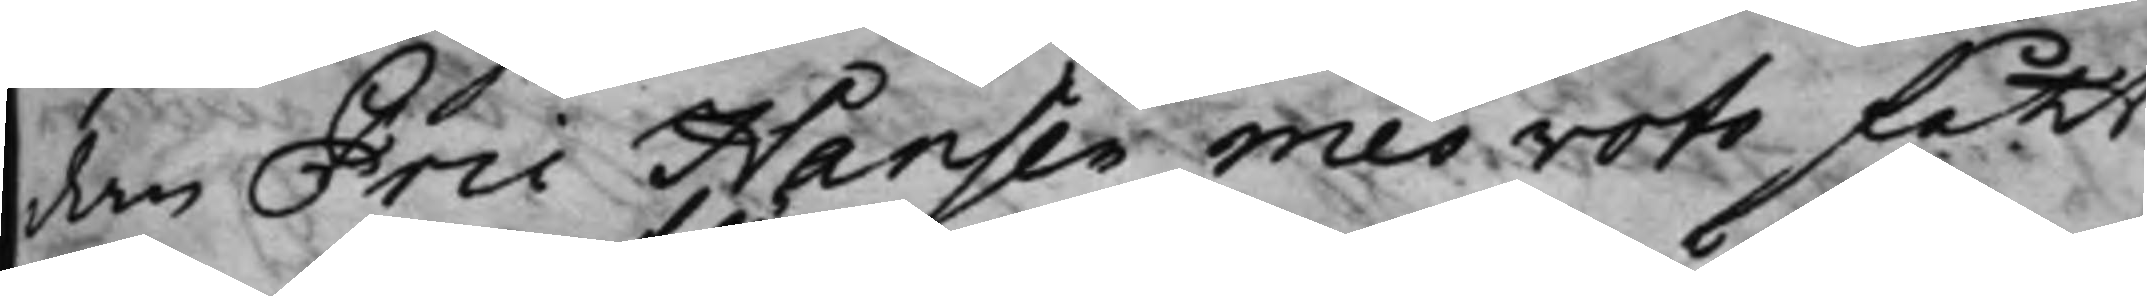dan Eric Hansen mes voto fått
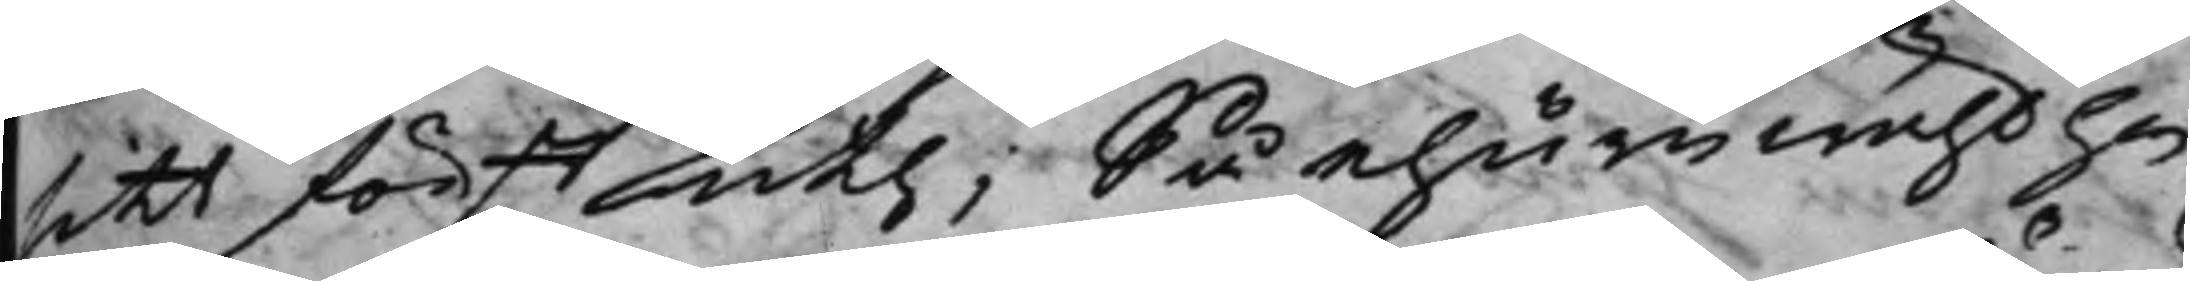sitt först uth; Så ehuruwähl han
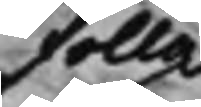fulla
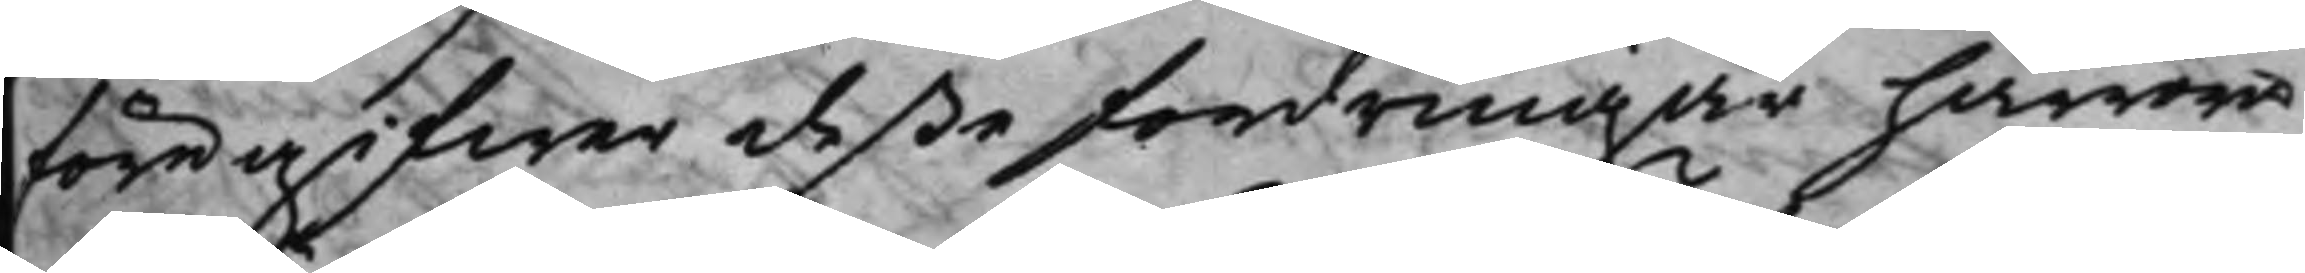föregifwer deße fordringar härröra
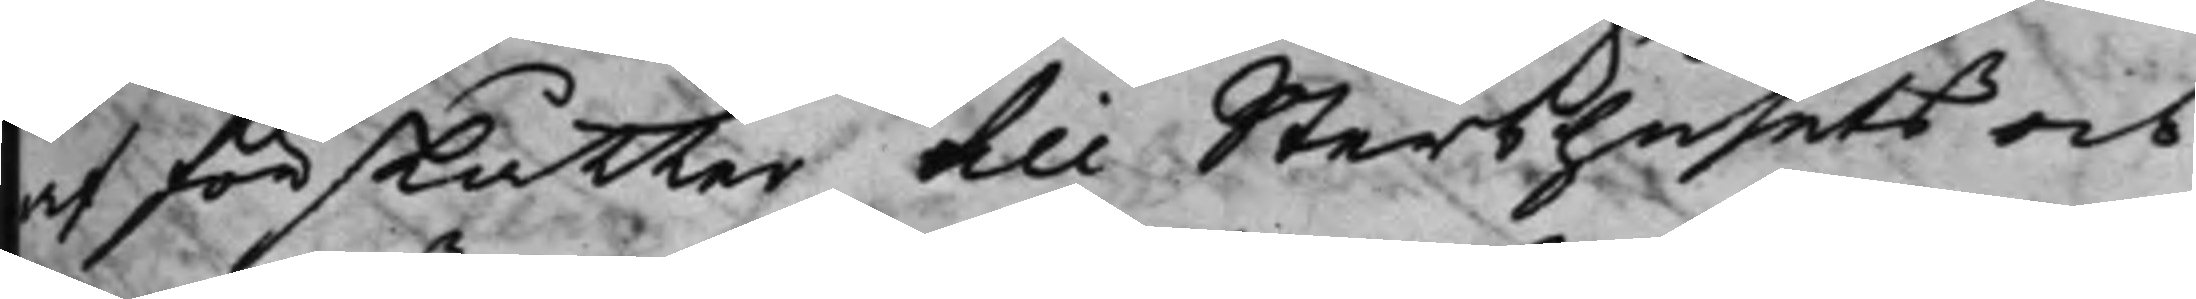af förskåtter till Sterbhusets och
